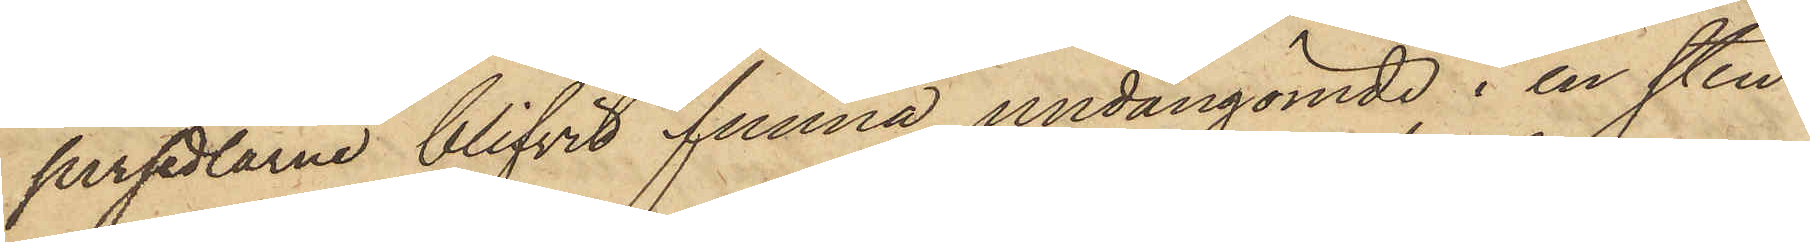persedlarne blifvit funna, undangömde i en sten¬
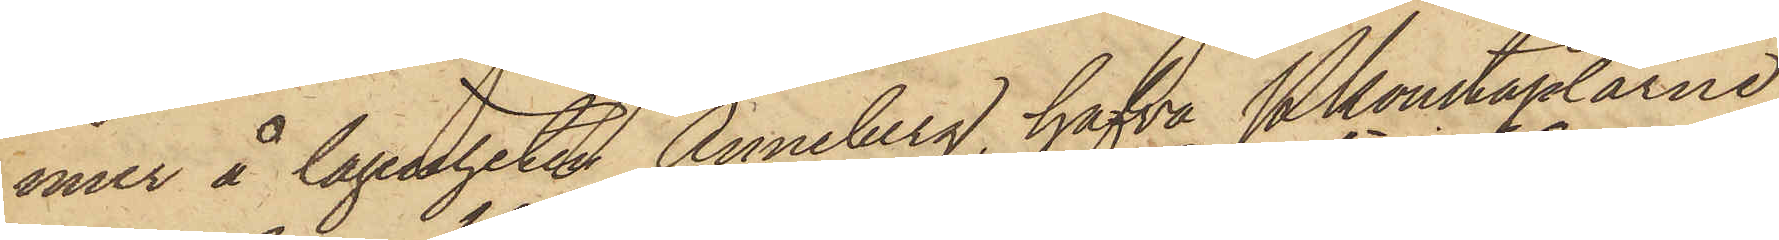mur å lägenheten Anneberg, hafva Pkonstaplarne
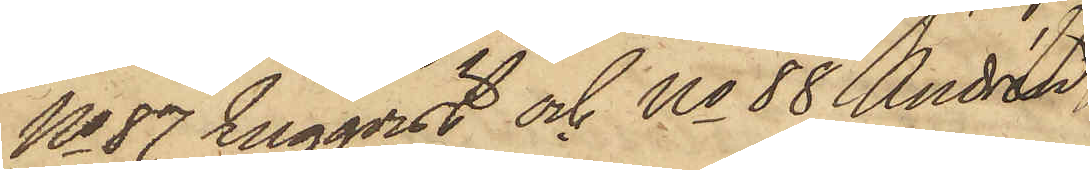No 87 Engqvist och No 88 Andrén
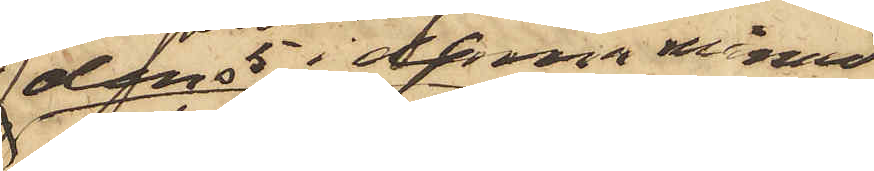den 5 i denna månad
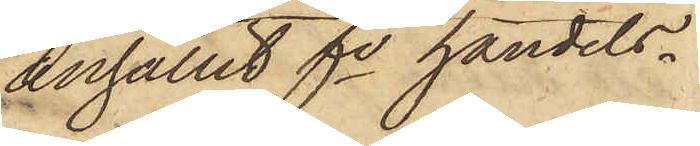anhållit fe handels¬
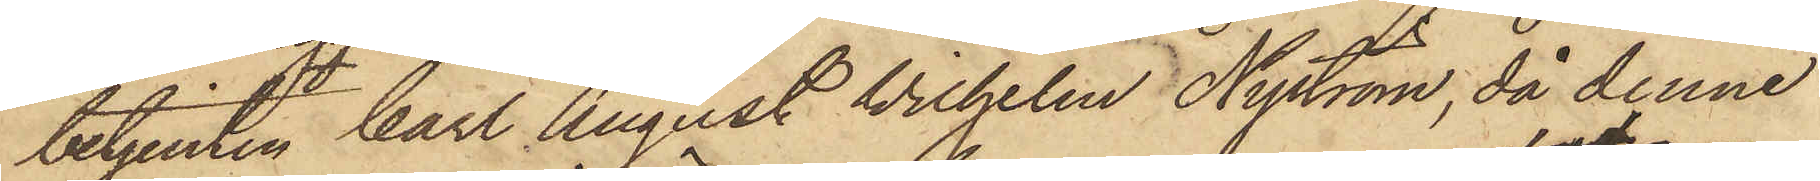betjenten Carl August Wilhelm Nyström, då denne
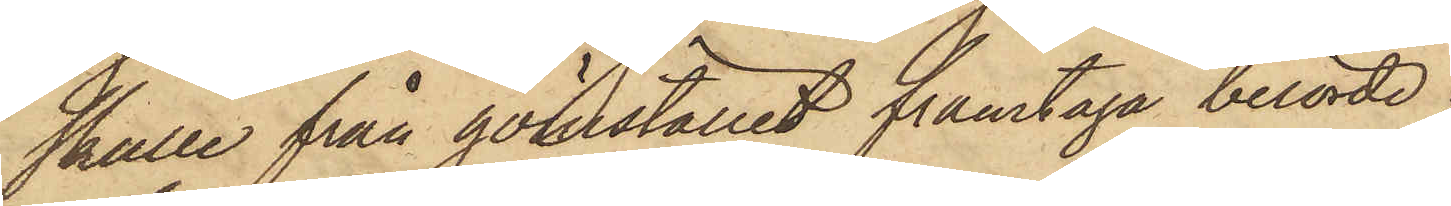skulle från gömstället framtaga berörde
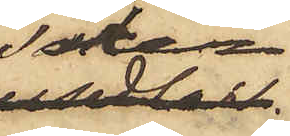saker
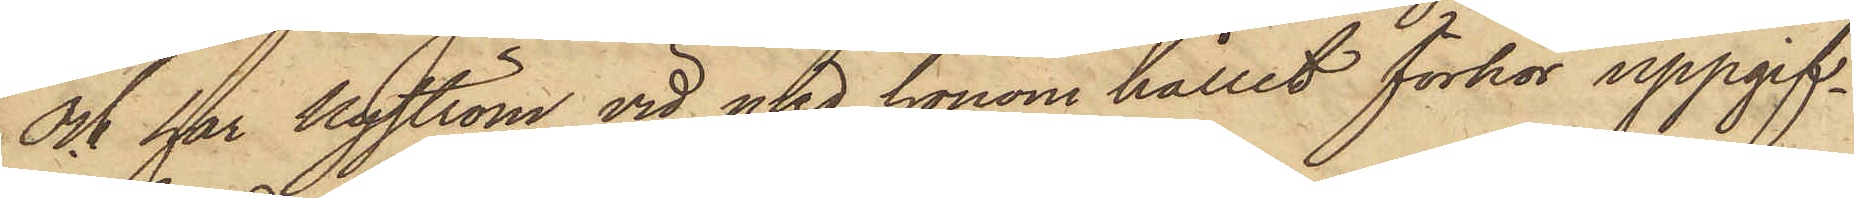och har Nyström vid med honom hållit förhör uppgif¬
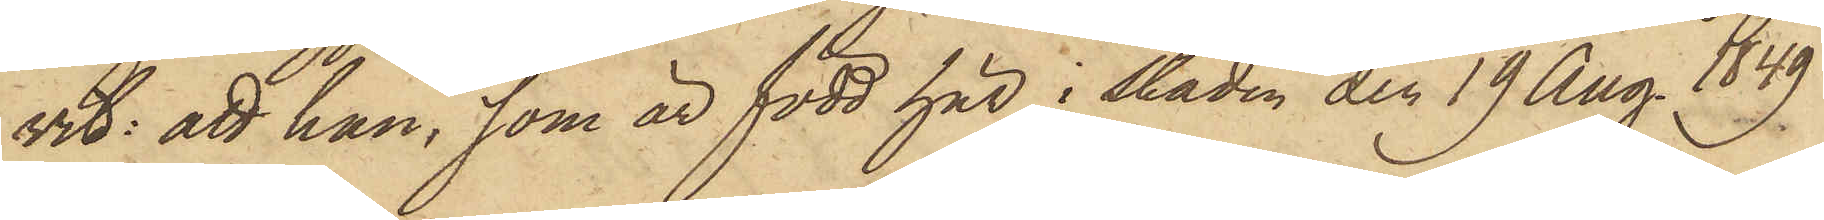vit: att han, som är född här i staden den 19 Aug. 1849
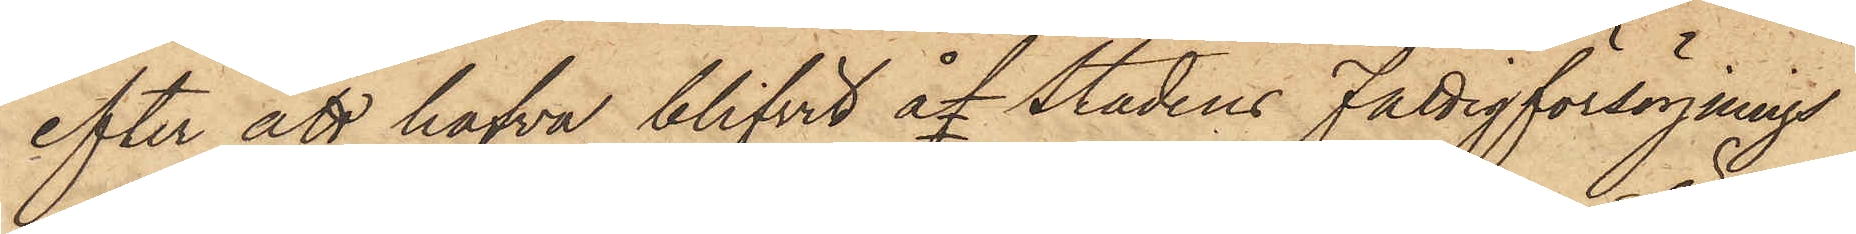efter att hafva blifvit åf stadens Fattigförsörjnings¬
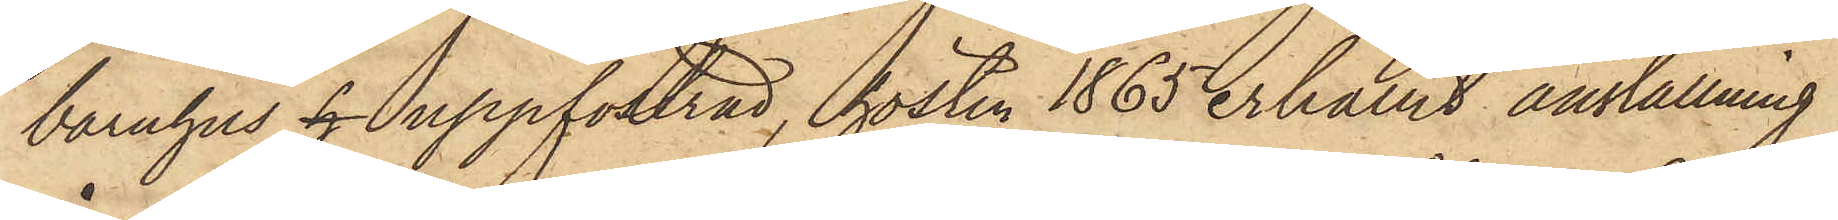barnhus h uppfostrad, hösten 1865 erhållit anställning
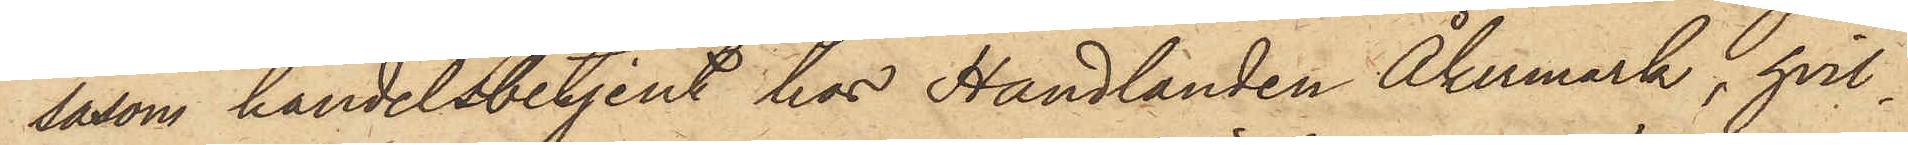såsom handelsbetjent hos Handlanden Åkermark, hvil¬
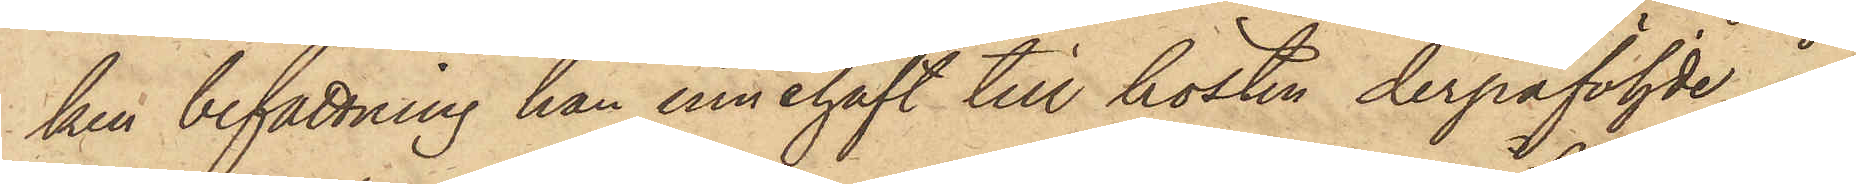ken befattning han innehaft till hösten derpåföljde år,
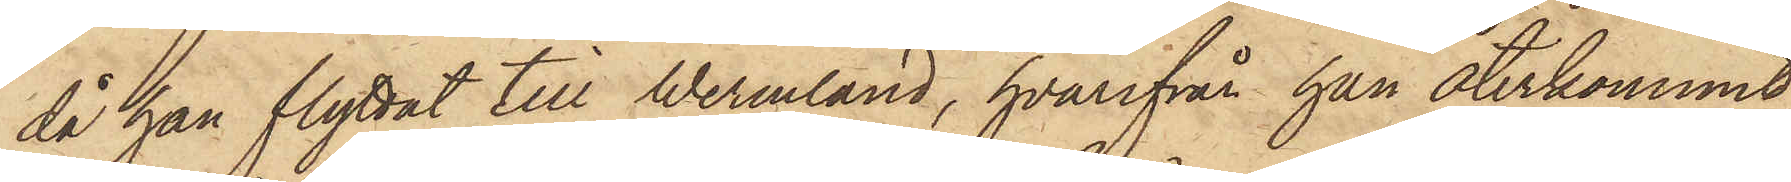då han flyttat till Wermland, hvarifrån han återkommit
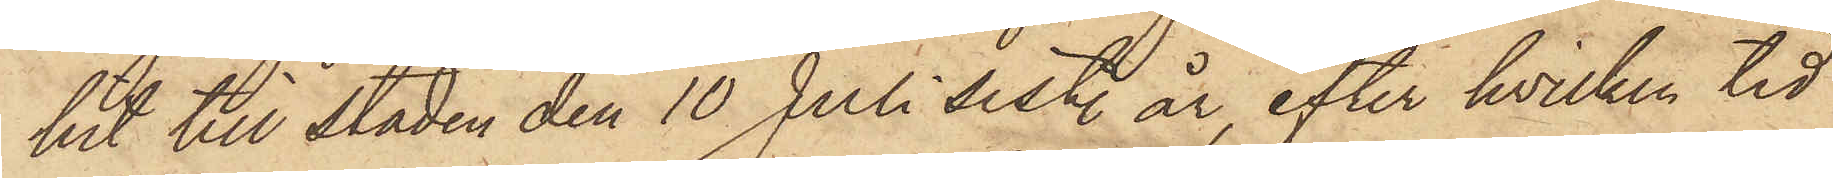hit till staden den 10 Juli sistl. år, efter hvilken tid
